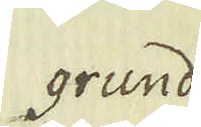grund
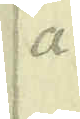a
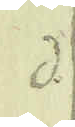d
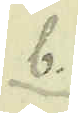b.
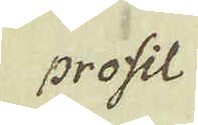profil
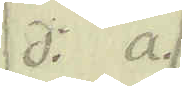d: a.
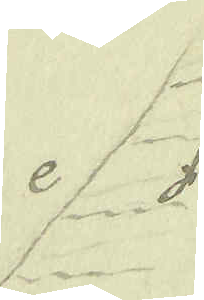e f
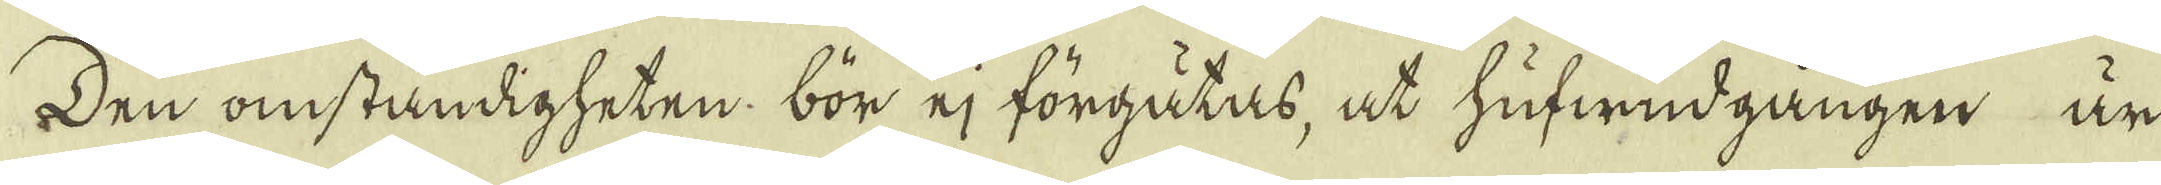Den omständigheten bör ej förgåtas, at hufwudgången är
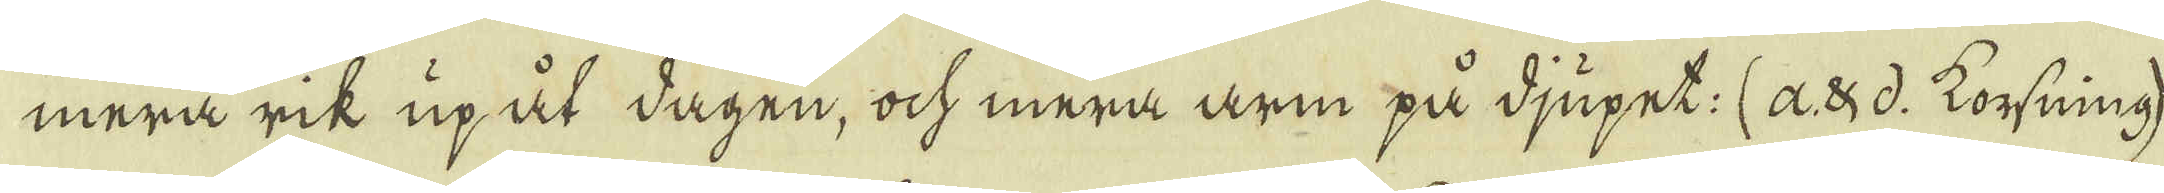mera rik upåt dagen, ock mera arm på djupet. (a. & d. korsning)
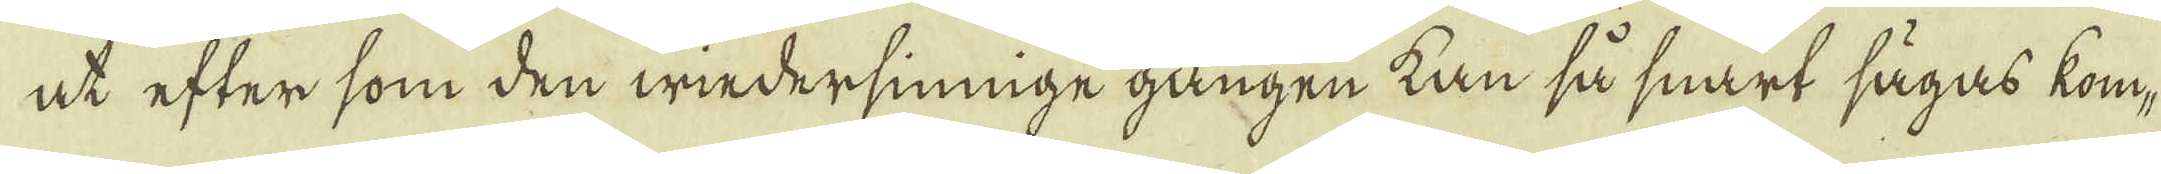at efter som den wiedersinnige gången tan så snart sägas kom-
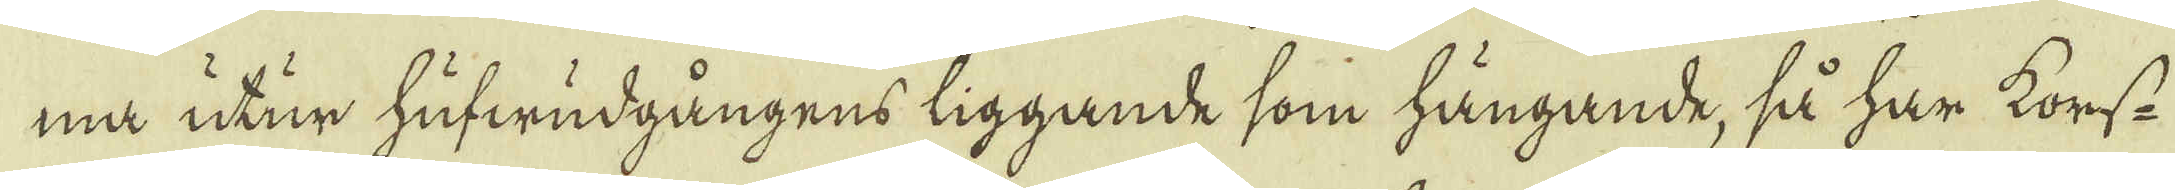ma utur hufwudgångens liggande som hängande, så har korss-
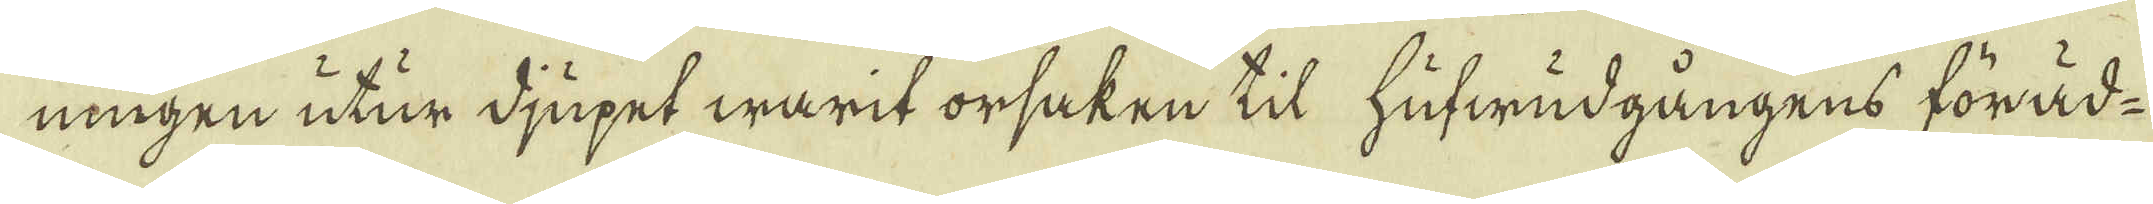ningen utur djupet warit orsaken til hufwudgångens föräd-
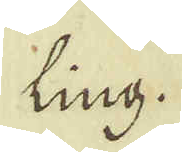ling.
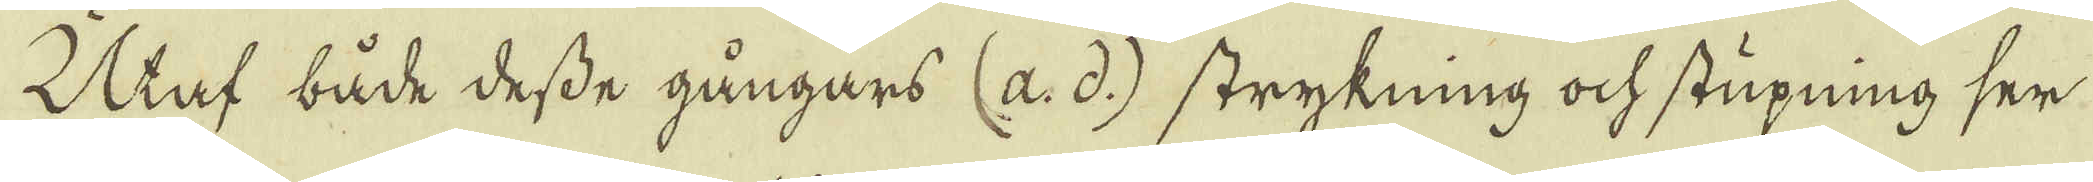Utaf både desse gångars (a. d.) strykning ock stupning ser
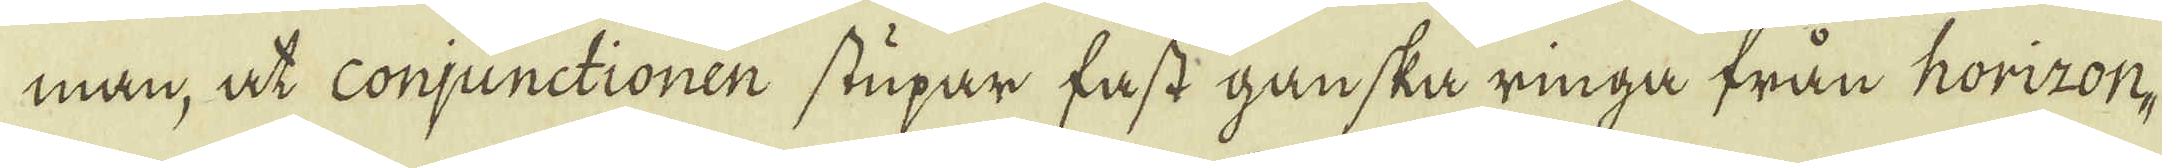man, at consunctionen stupar fast ganska ringa från horizon-
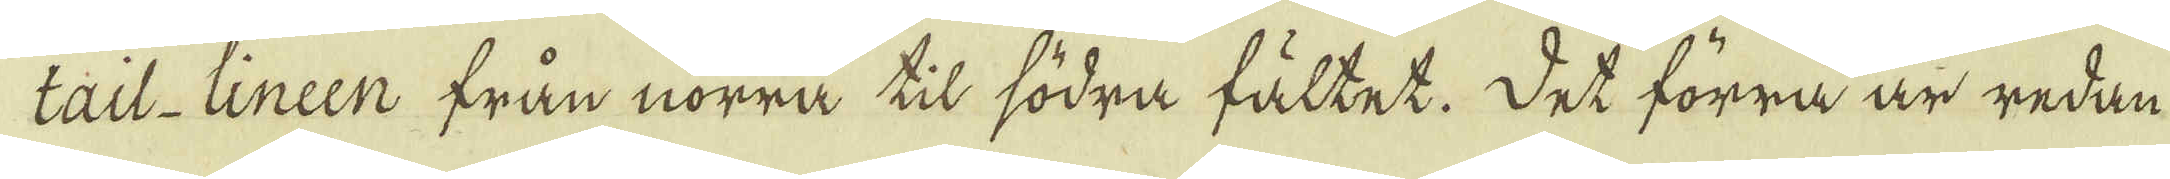tail-lineen från nörra til södra fältet. Det förrå är redan
